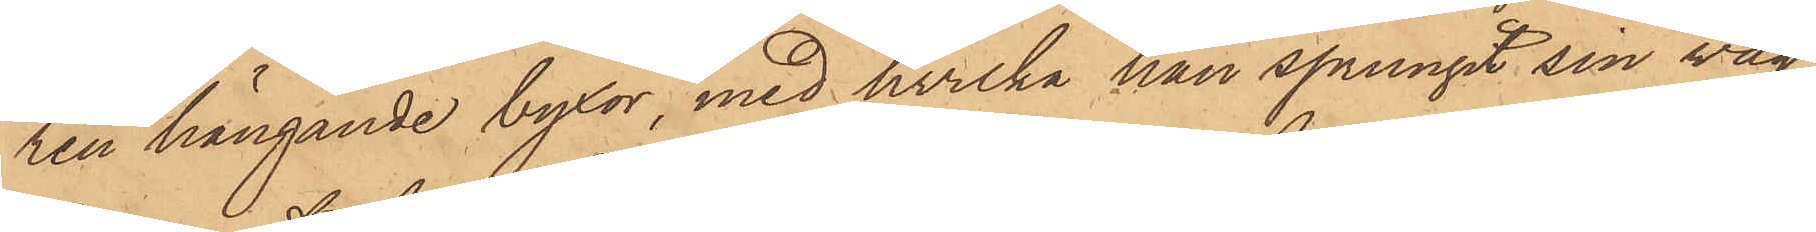ren hängande byxor, med hvilka han sprungit sin väg,
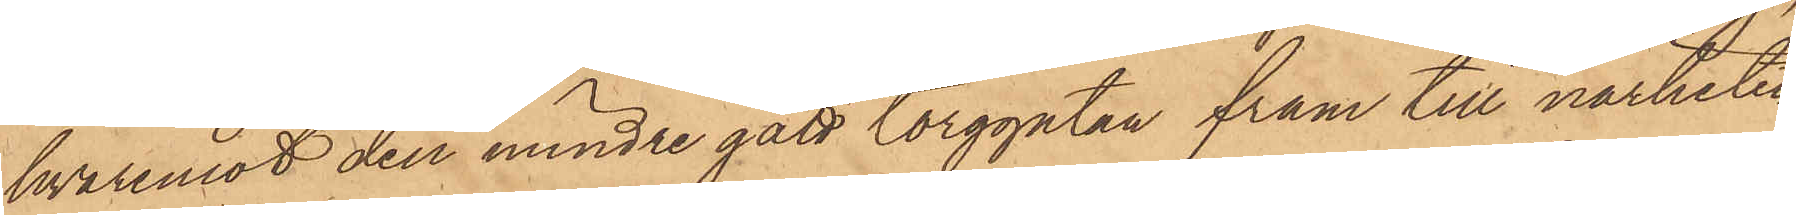hvaremot den mindre gått torggatan fram till närheten
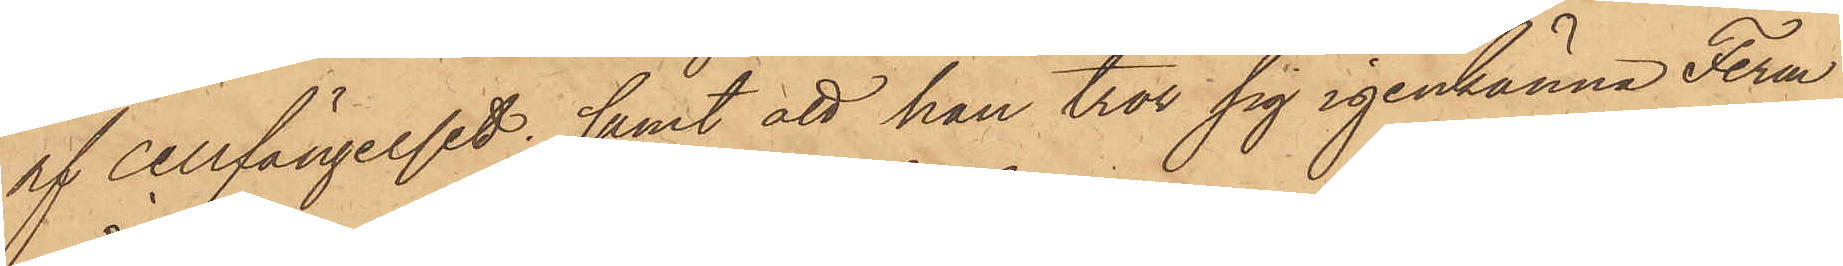af cellfängelset; samt att han tror sig igenkänna Ferm
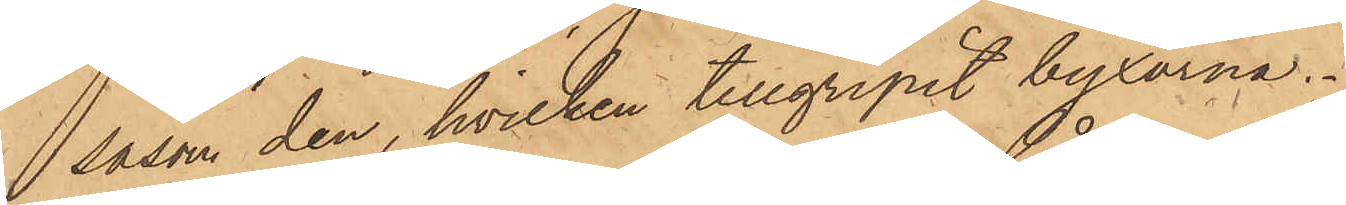såsom den, hvilken tillgripit byxorna.
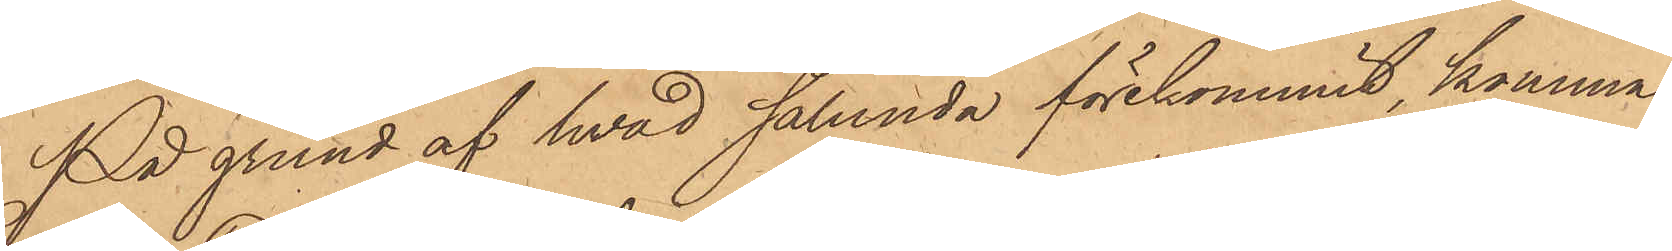På grund af hvad sålunda förekommit, komma
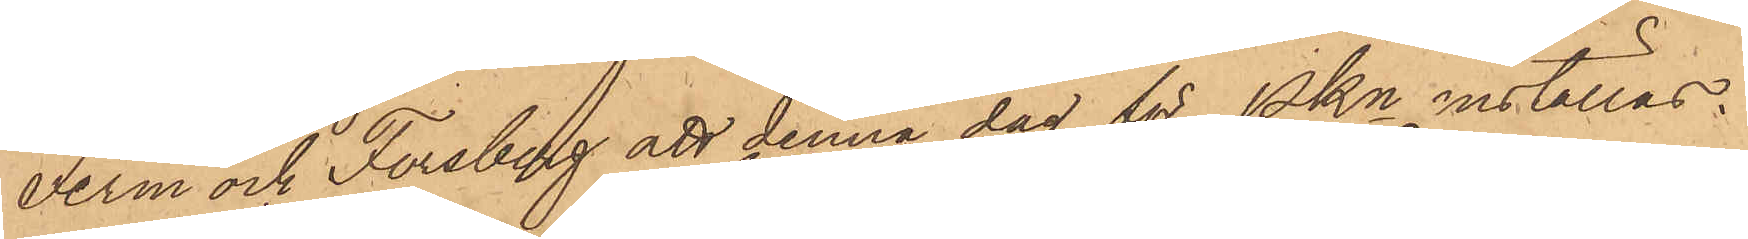Ferm och Forsberg att denna dag för Pkn inställas.
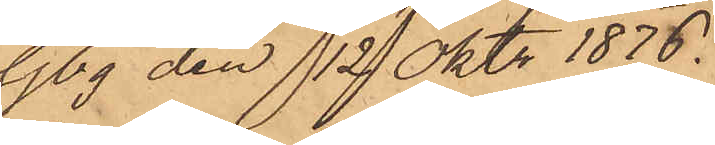Gbg den 12 Oktr 1876.
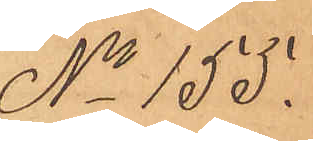No 155.
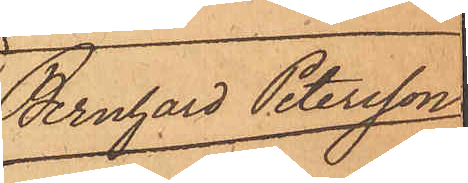Bernhard Petersson
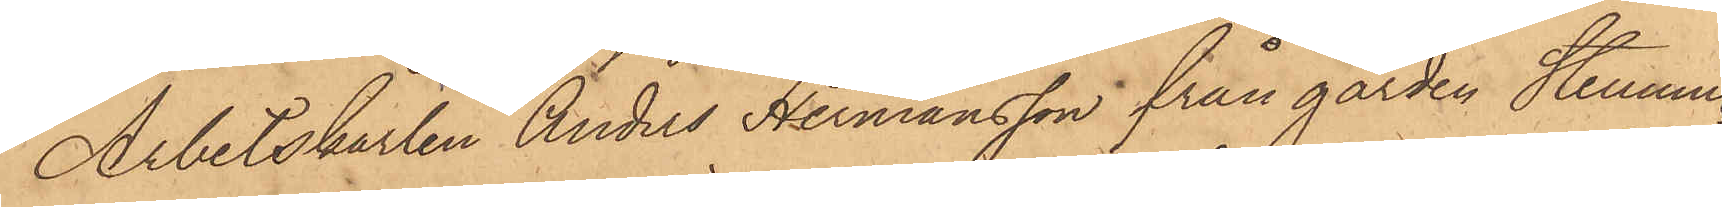Arbetskarlen Anders Hermansson från gården Stenung
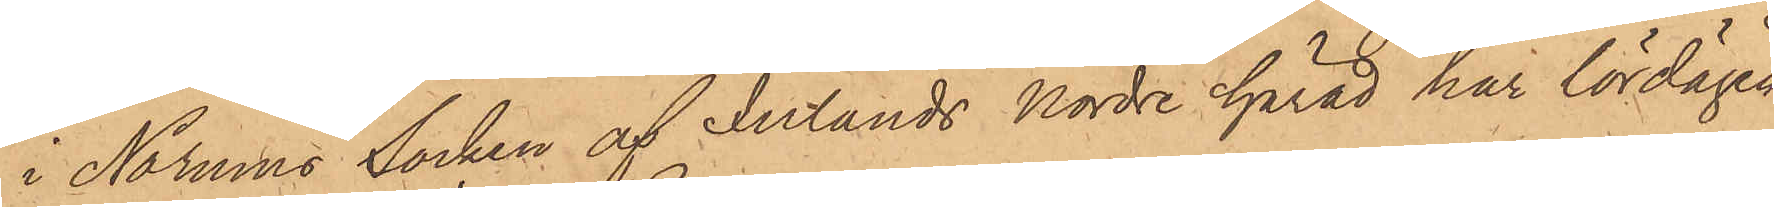i Norums Socken af Inlands Nordre härad har lördagen
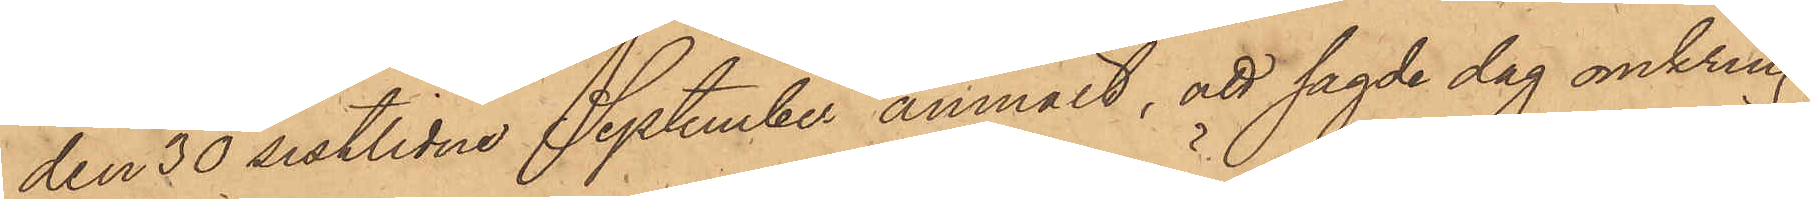den 30 sistlidne September anmält, att sagde dag omkring
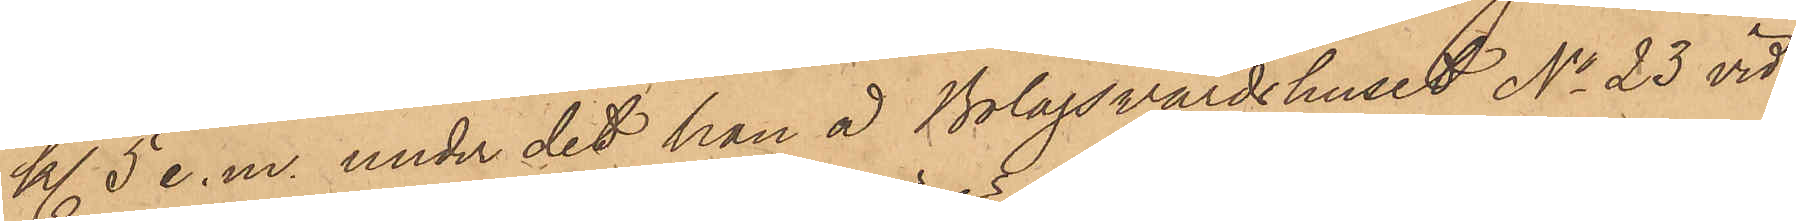kl. 5 e. m. under det han å Bolagsvärdshuset No 23 vid
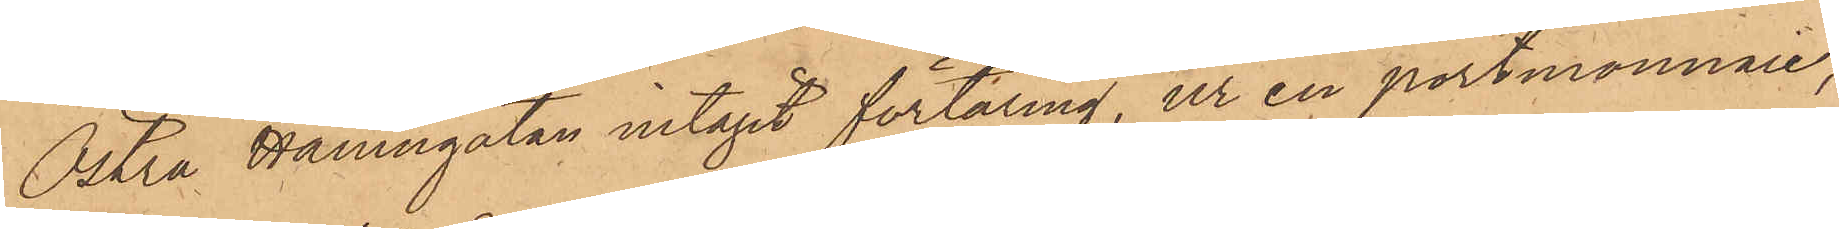Östra Hamngatan intagit förtäring, ur en portmonnaie,
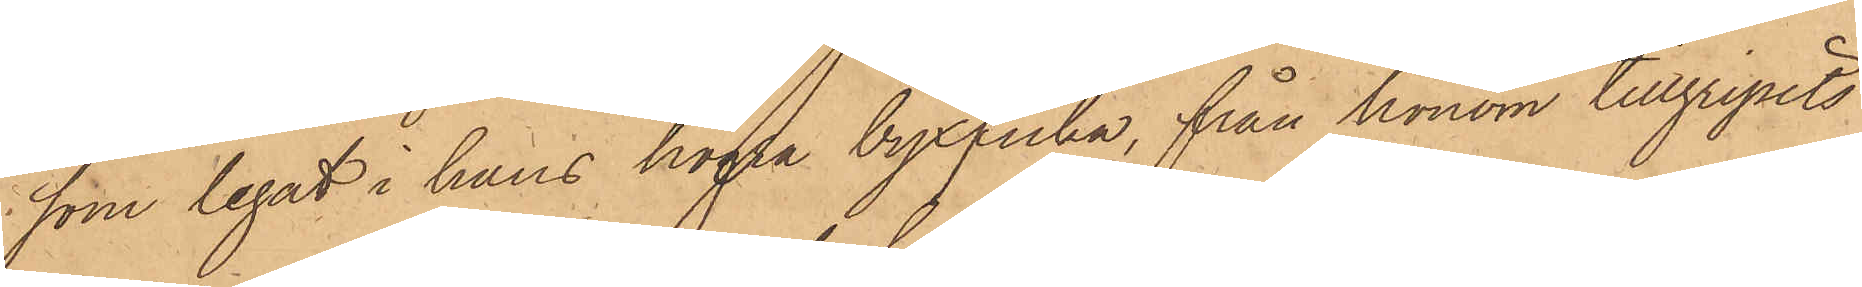som legat i hans högra byxficka, från honom tillgripits
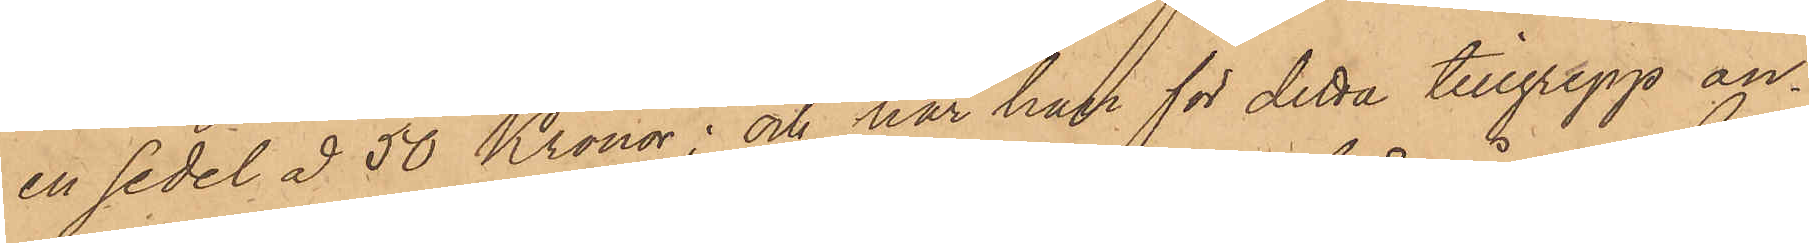en sedel å 50 Kronor; och har han för detta tillgrepp an¬
